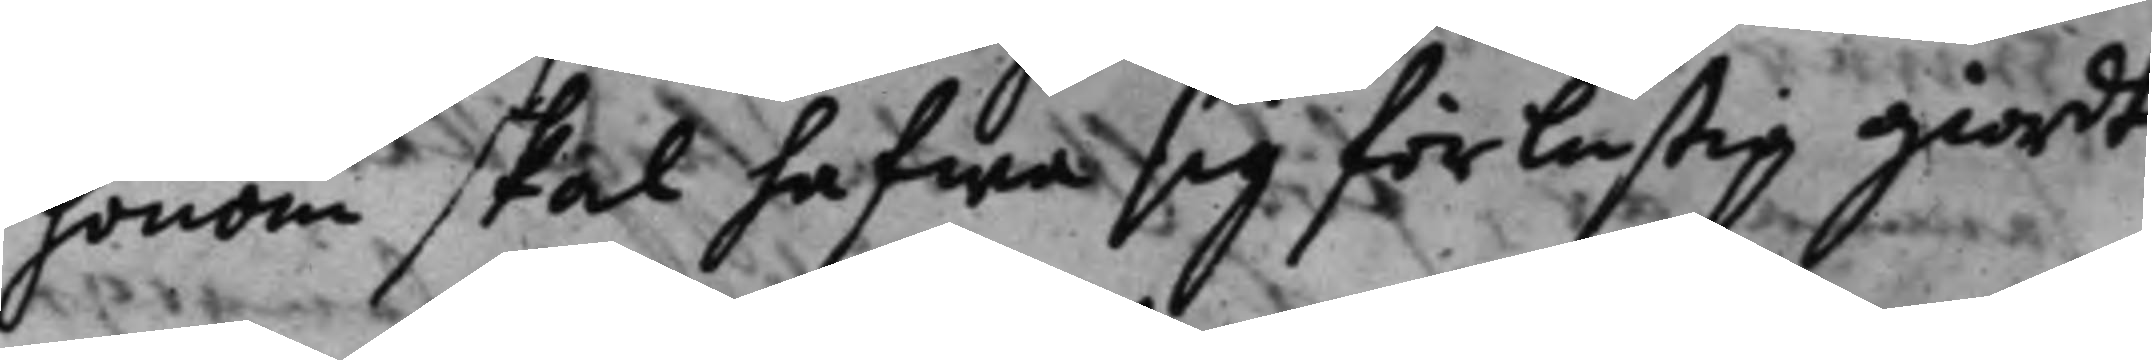honom skal hafwa sig förlustig giordt.
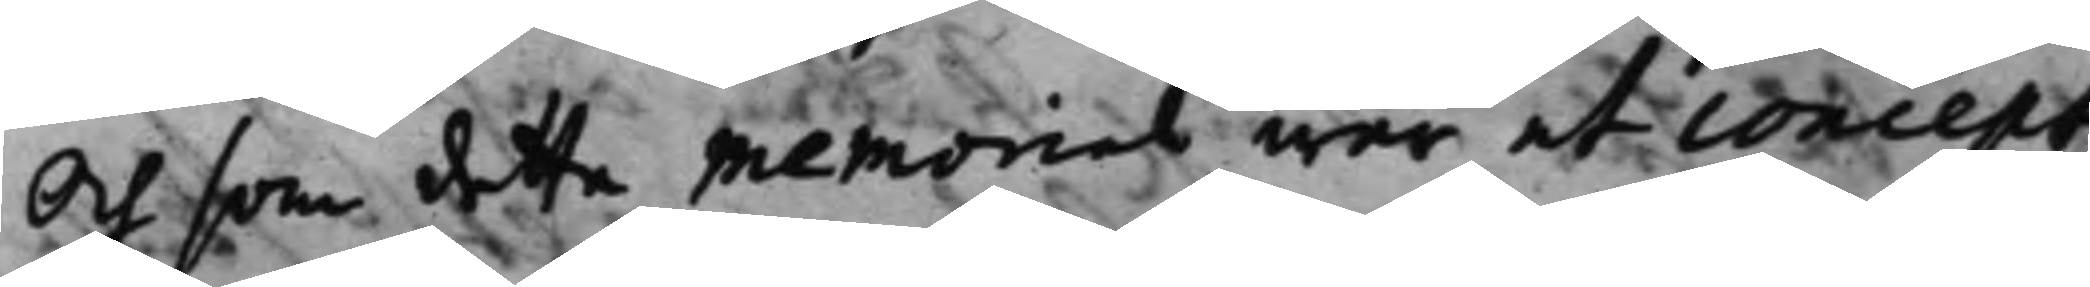Och som detta memorial war et concept
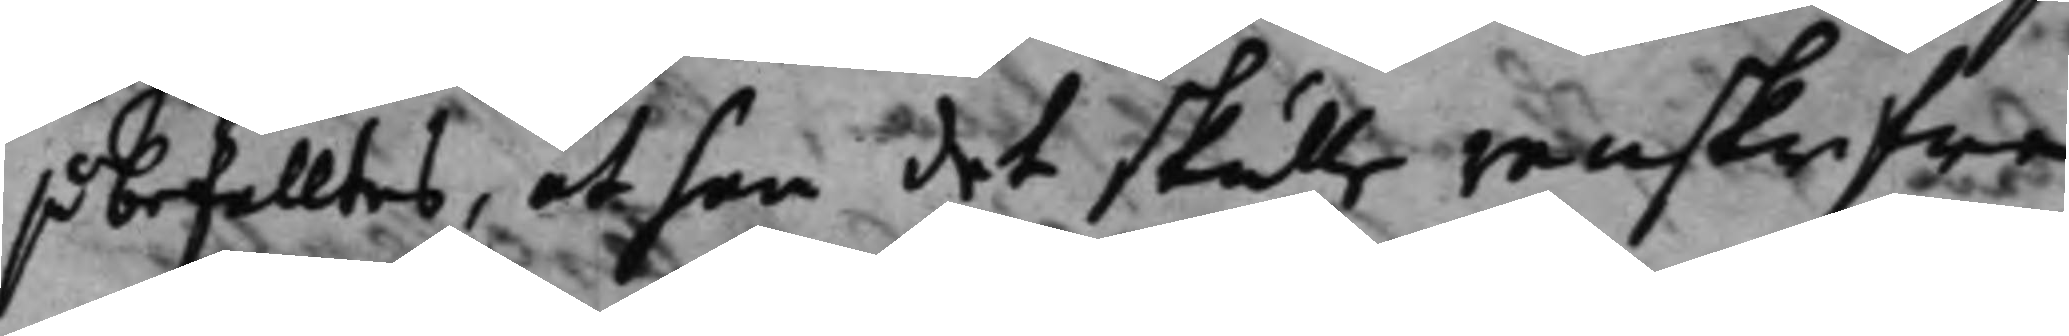så befalltes, at han det skulle renskrifwa
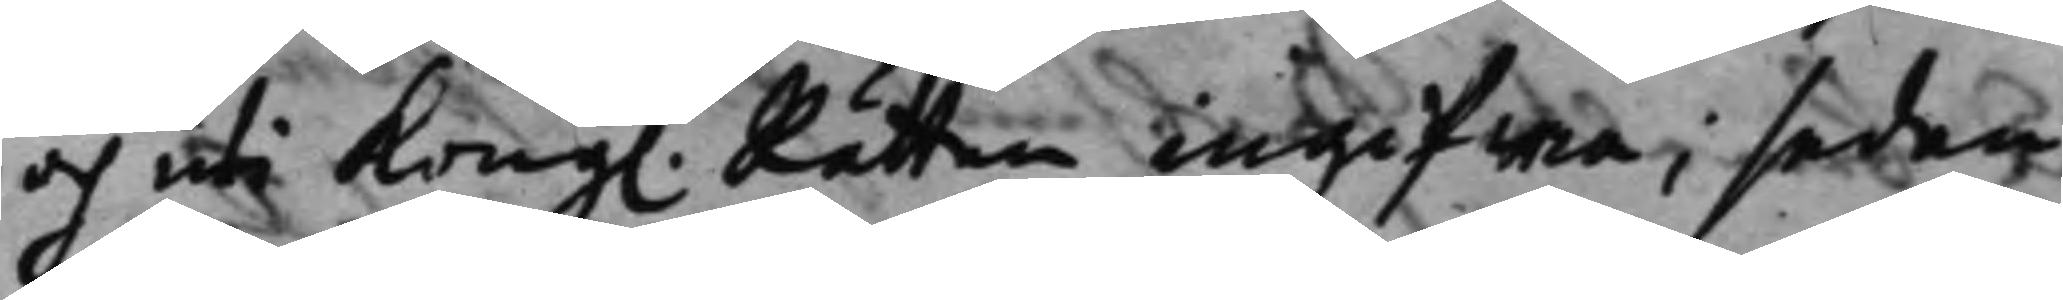och uti Kong. Rätten ingifwa; sedan 
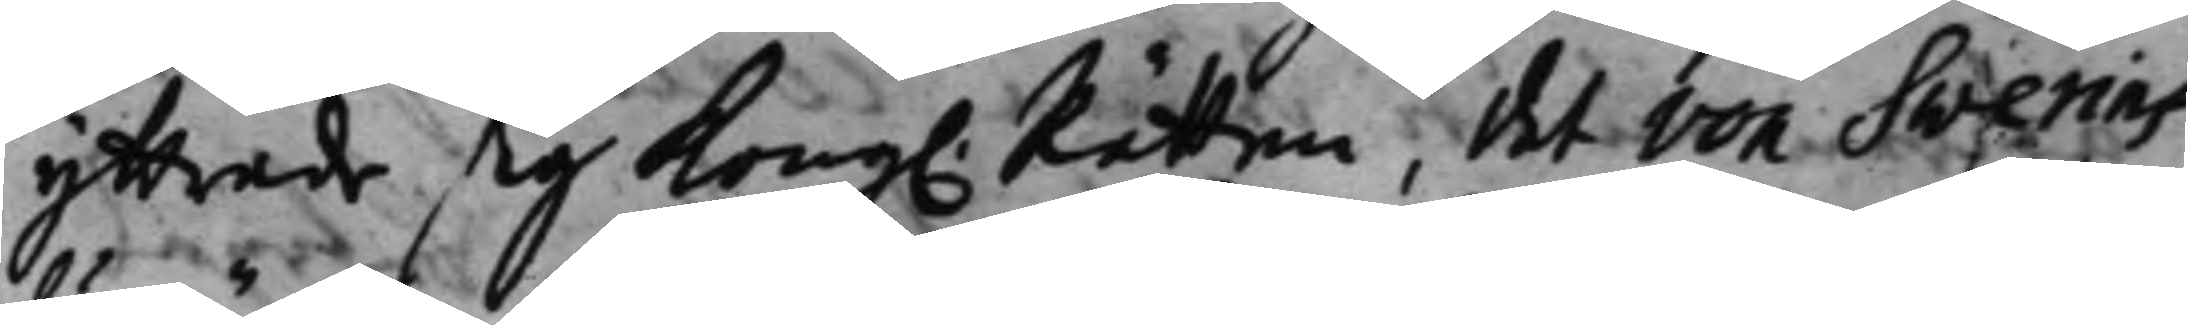yttrade sig Kong. Rätten, det von Swerins 
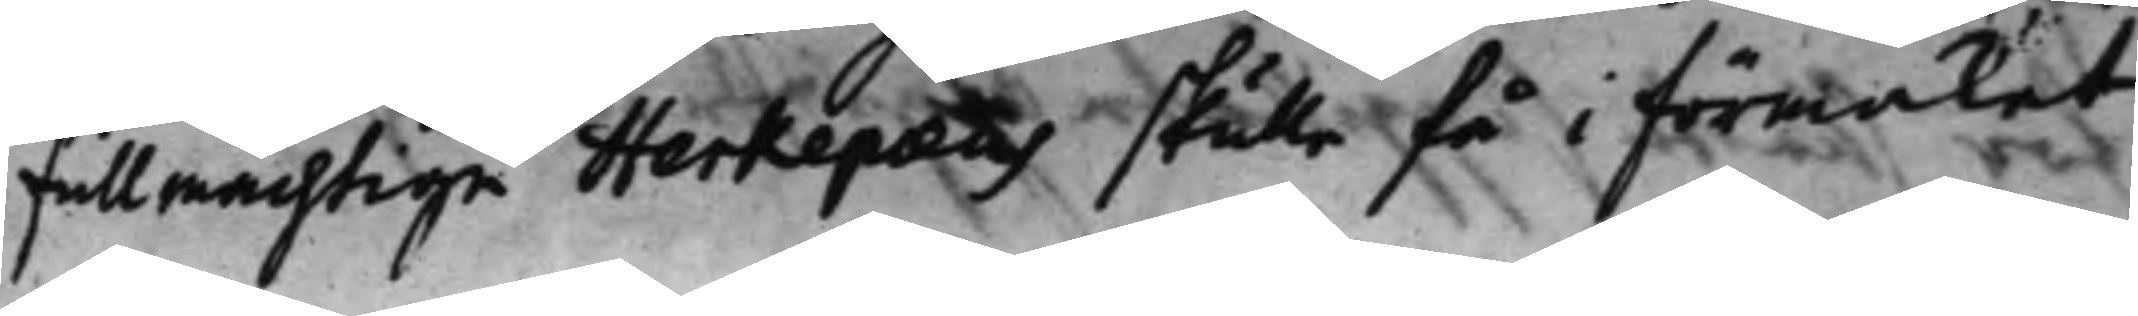fullmächtige Herkepæus skulle få i förmakat
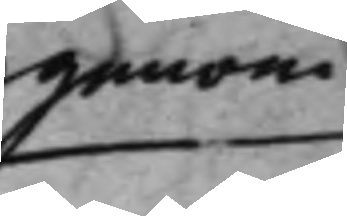genom¬
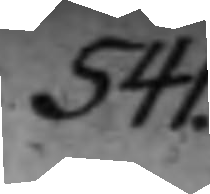541.
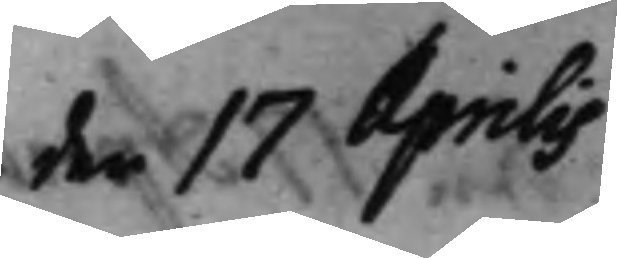den 17 Aprilis
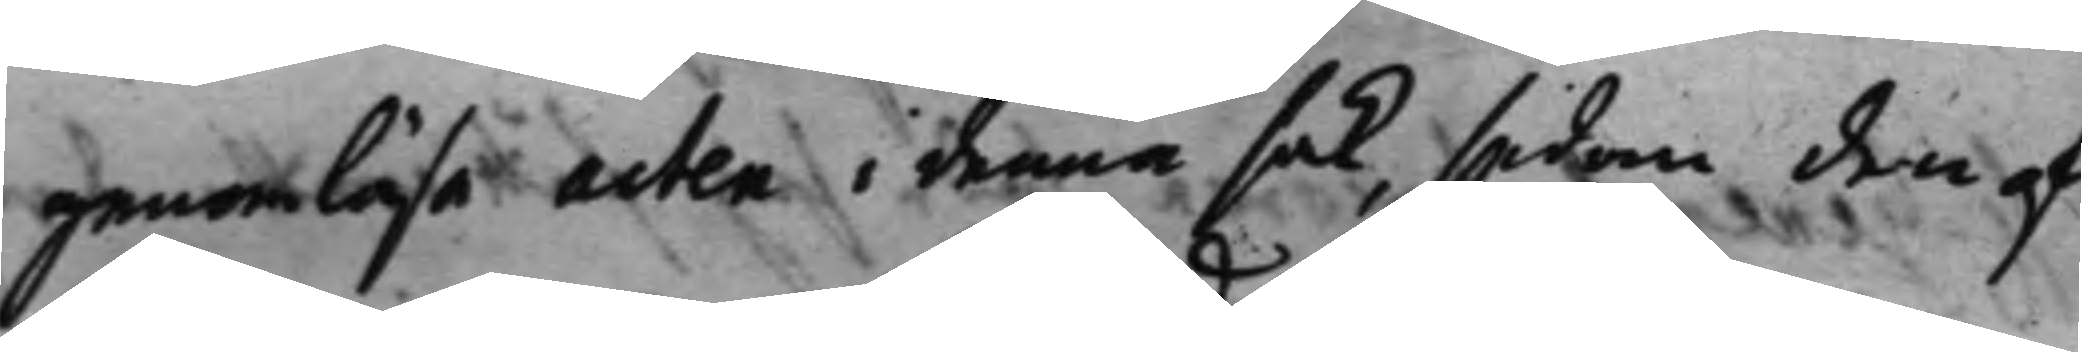genomläsa acten i denna sak, sedan den af
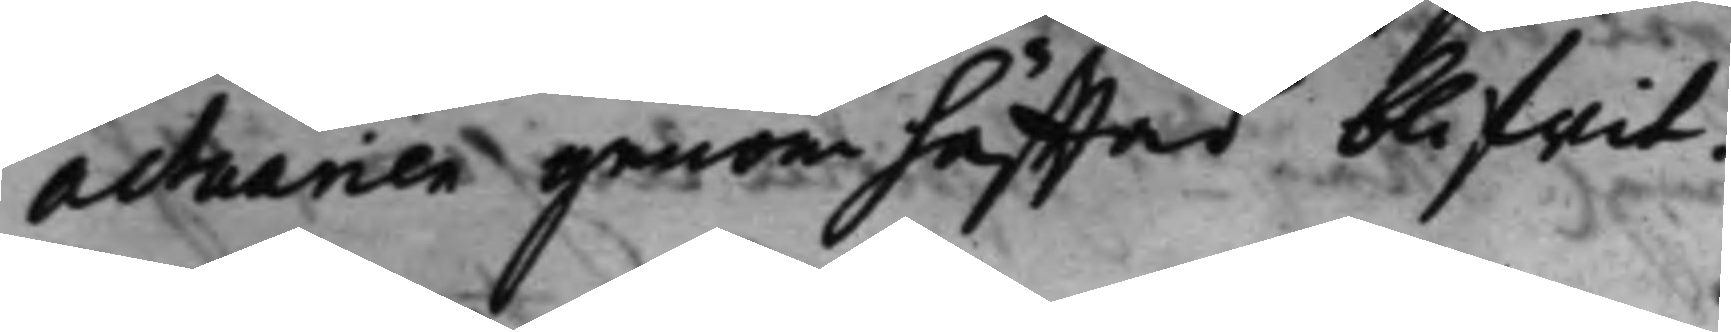actuarien genomhäfftad blifwit.
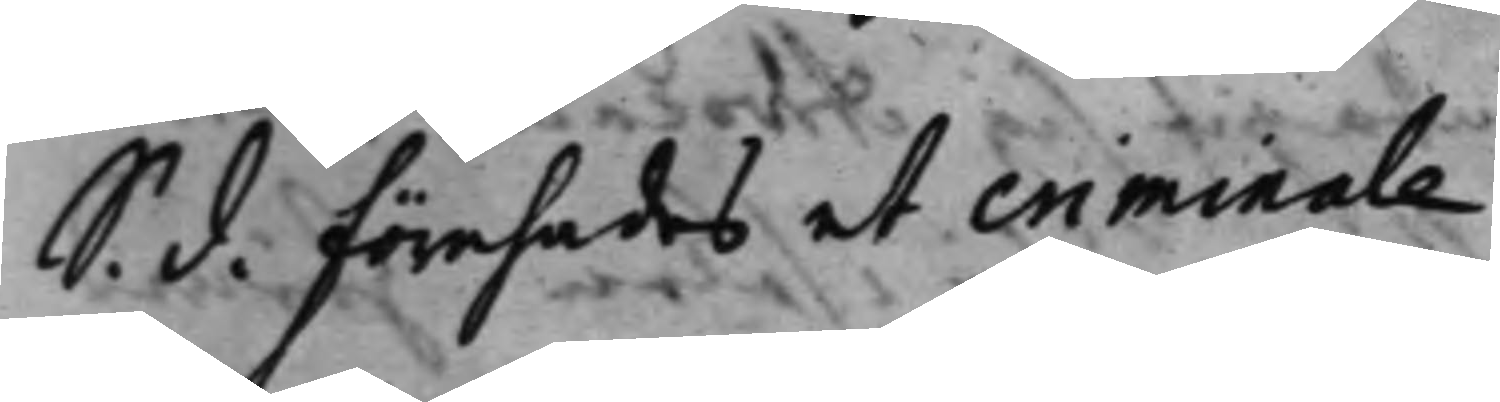S. d. Förehades et criminale .
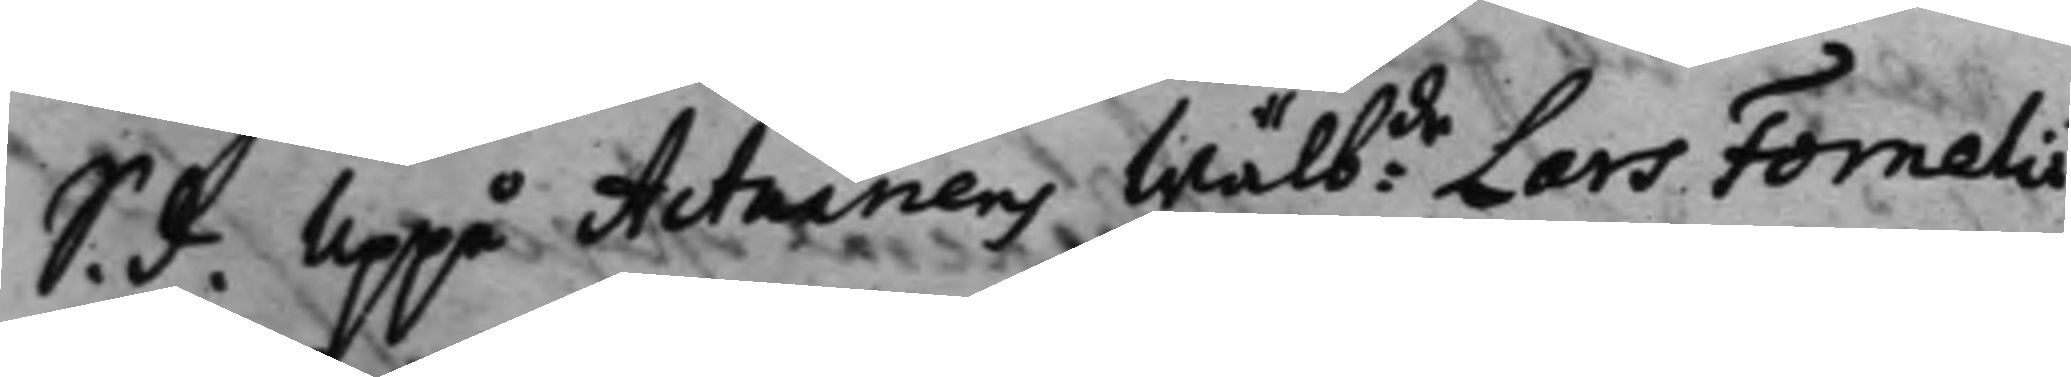S. d. Uppå Actuariens Wälbde Lars Fornelii 
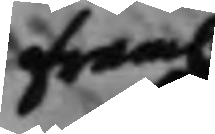fram. 
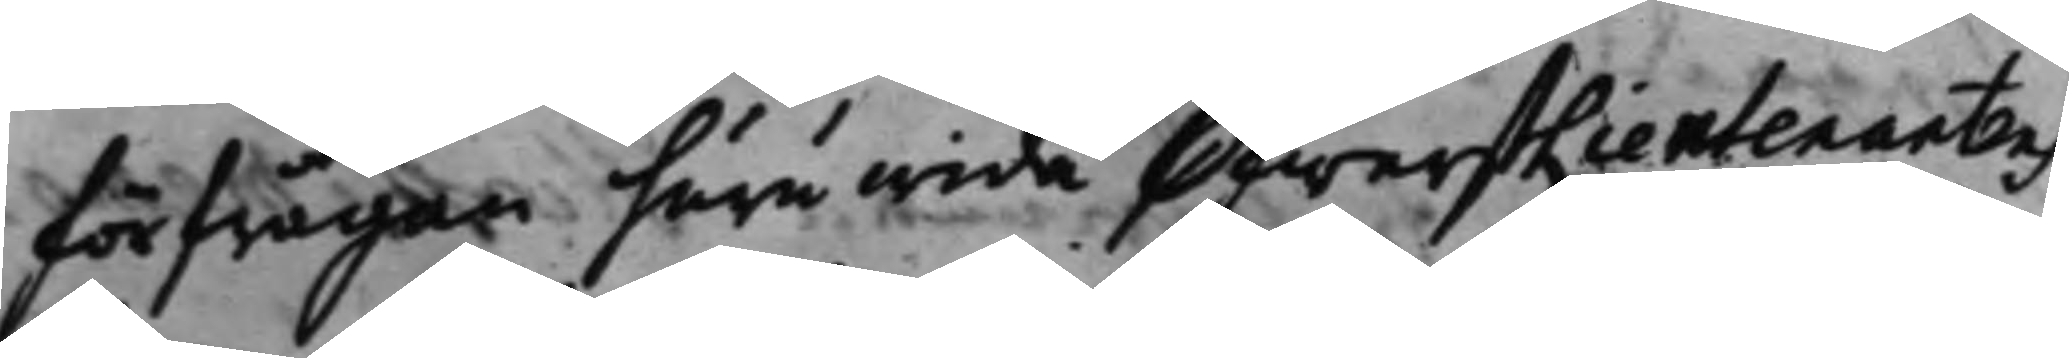förfrågan huruwida ÖfwerstLieutenantens
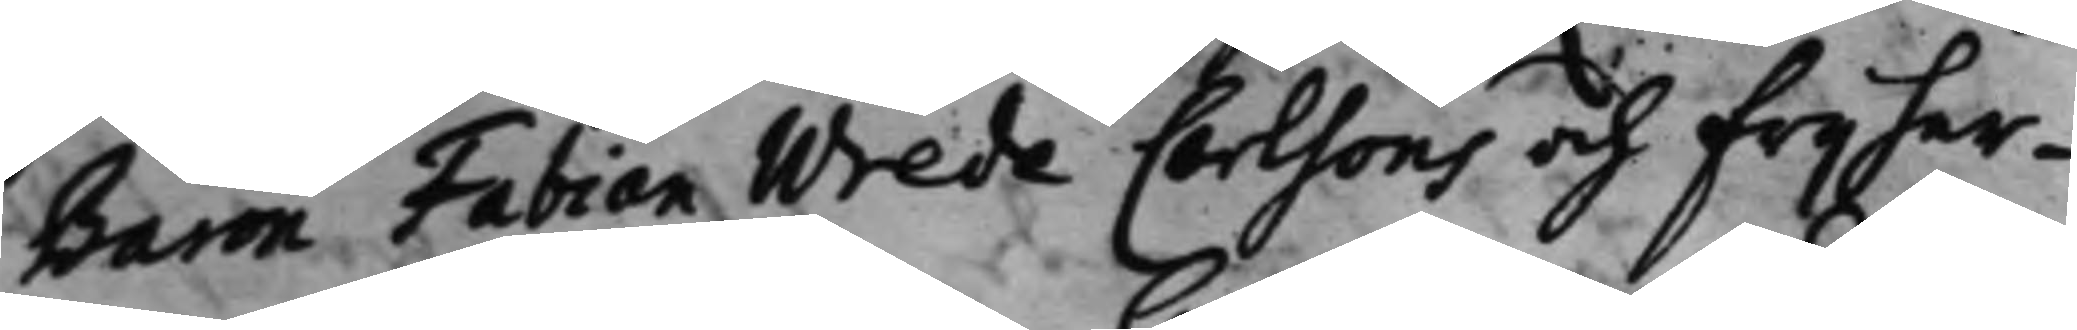Baron Fabian Wrede Carlsons och Frijher¬
